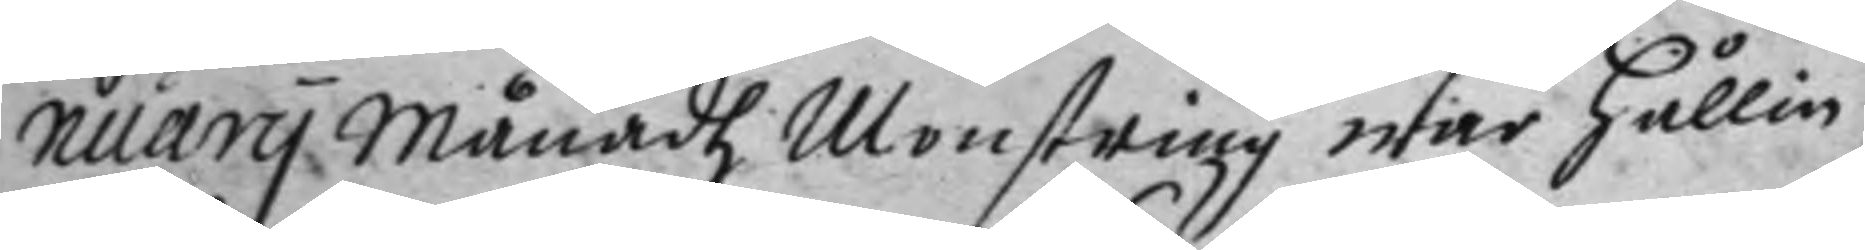nuary månadh Monstring war hållin
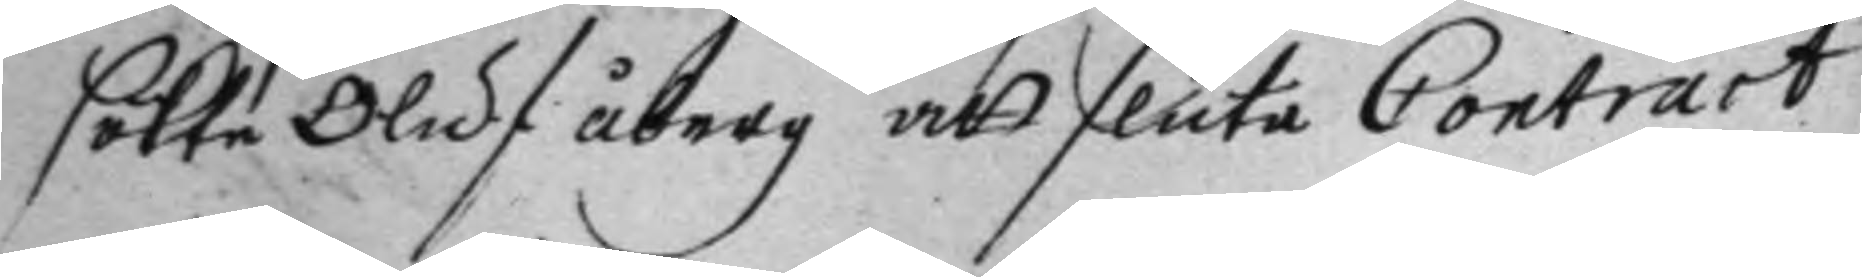sökte Oluf åberg att sluta Contract
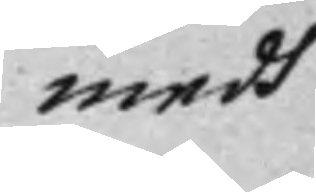medh
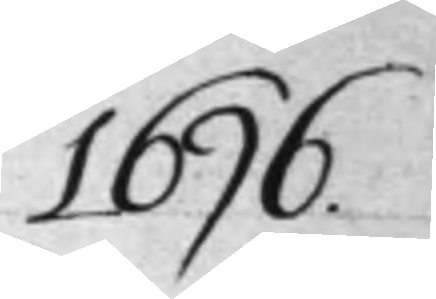1696.
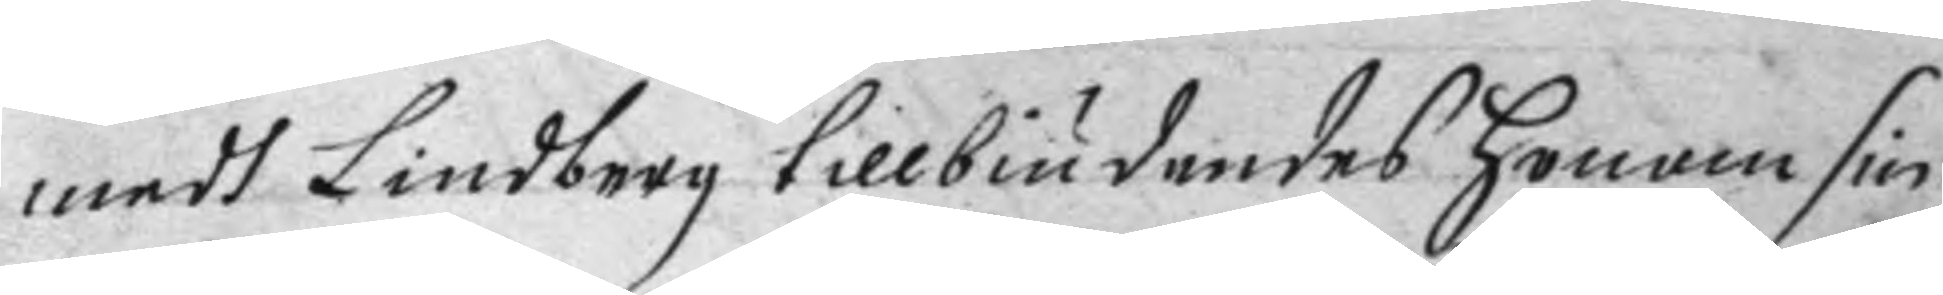medh Lindberg tillbiudandes honom sin
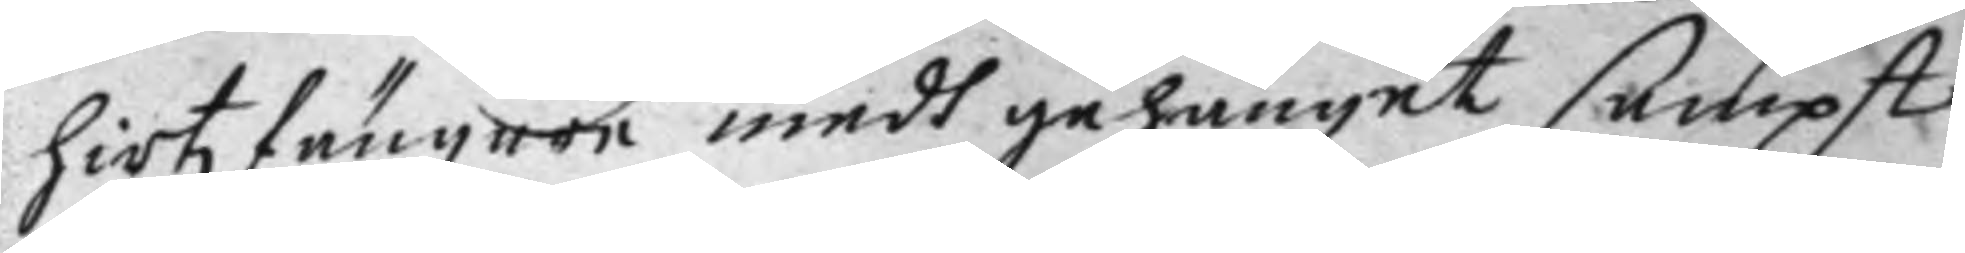hirtzfängere medh gehänget sampt
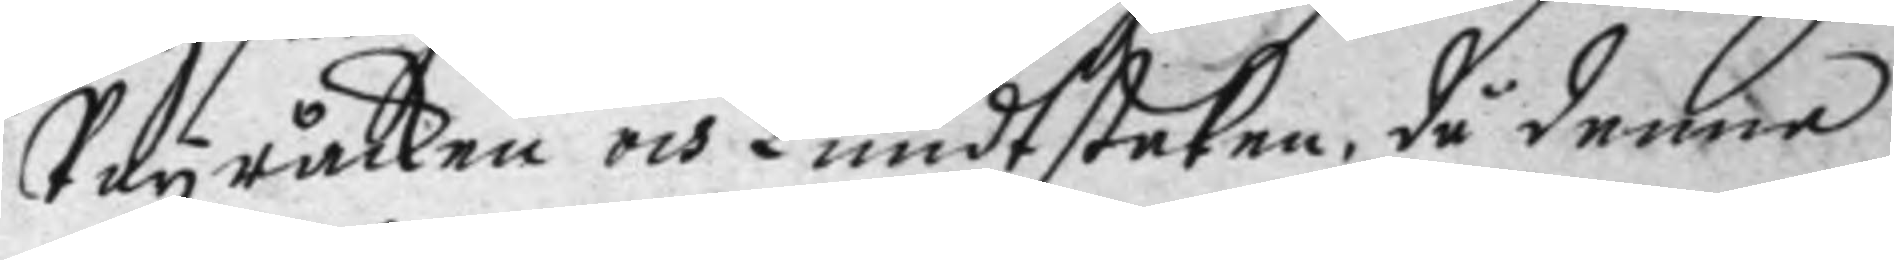Poyråcken och Lundtstaken, då denne
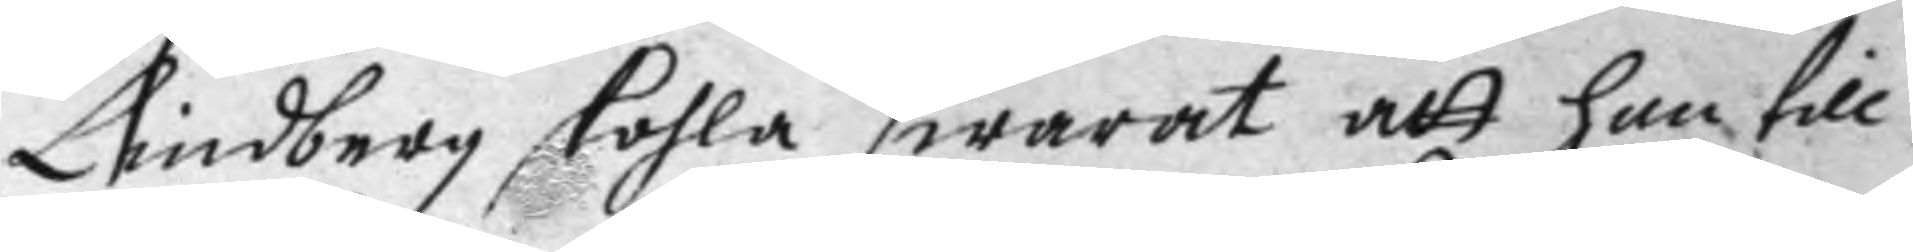Lindberg skohla swarat att han till
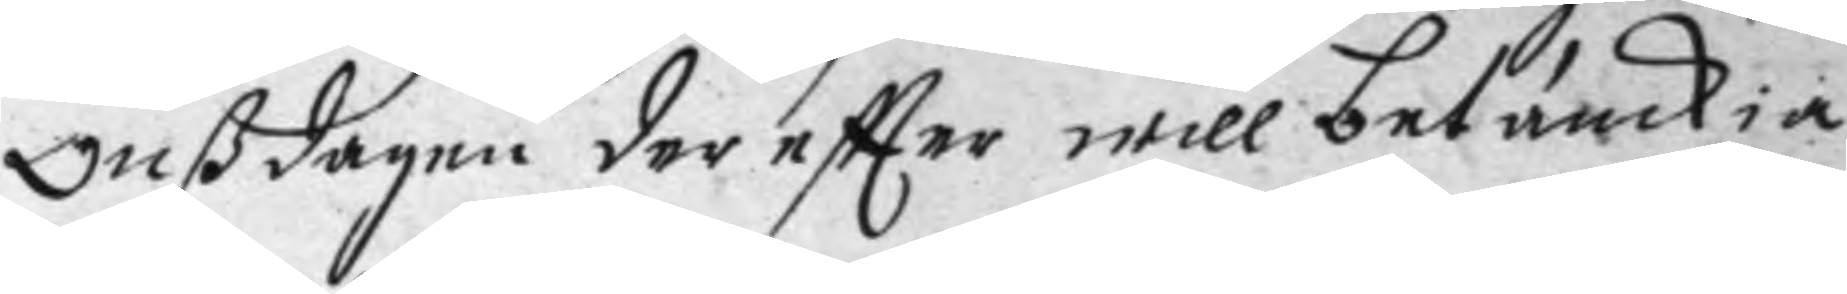Onßdagen der eftter will betänckia
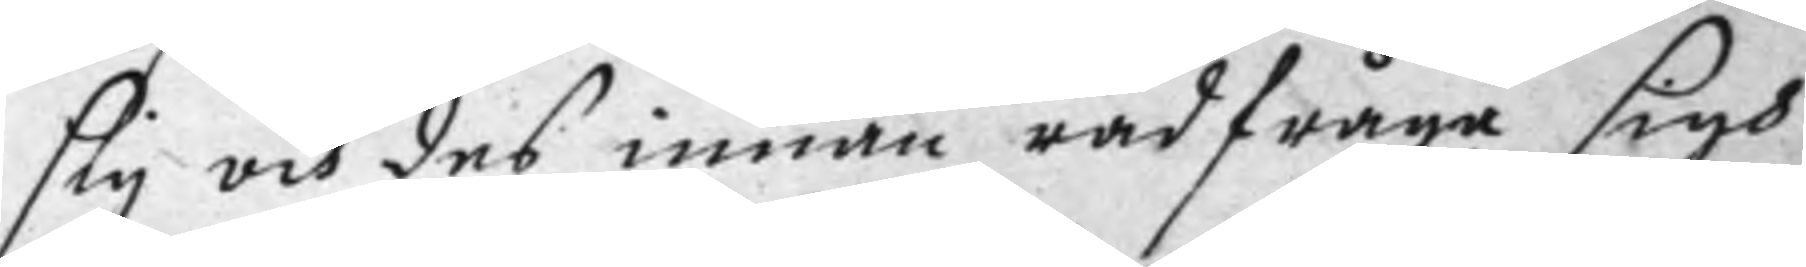sig och des innan rådfråga sigh
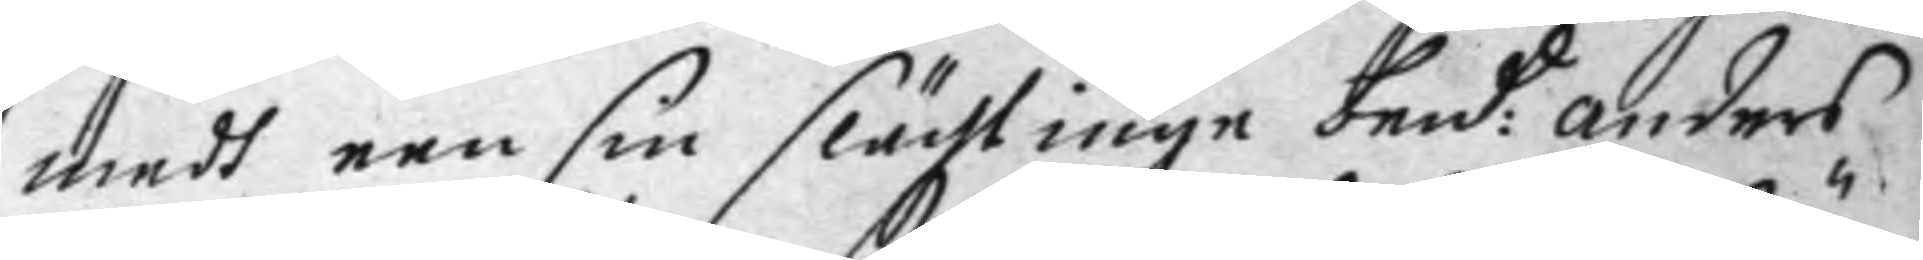medh een sin slächtinge  bend:d anders
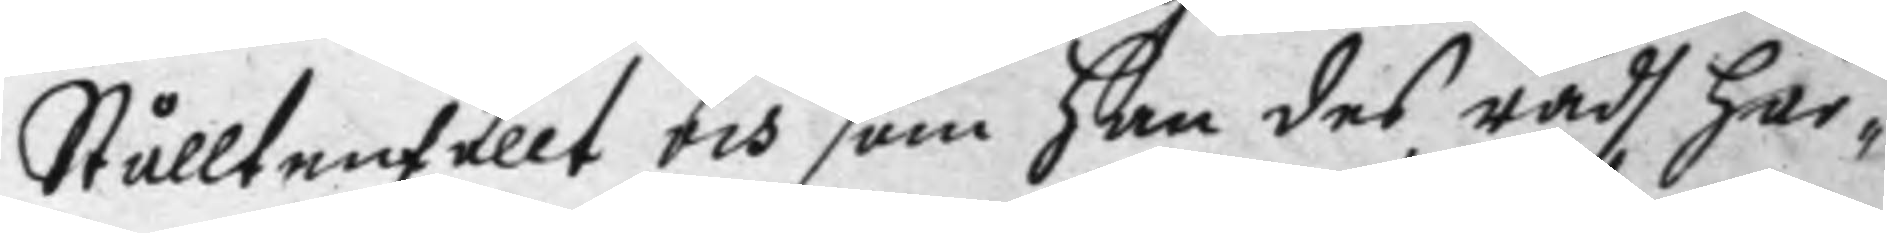Stålltenfällt och som han des rådh här¬
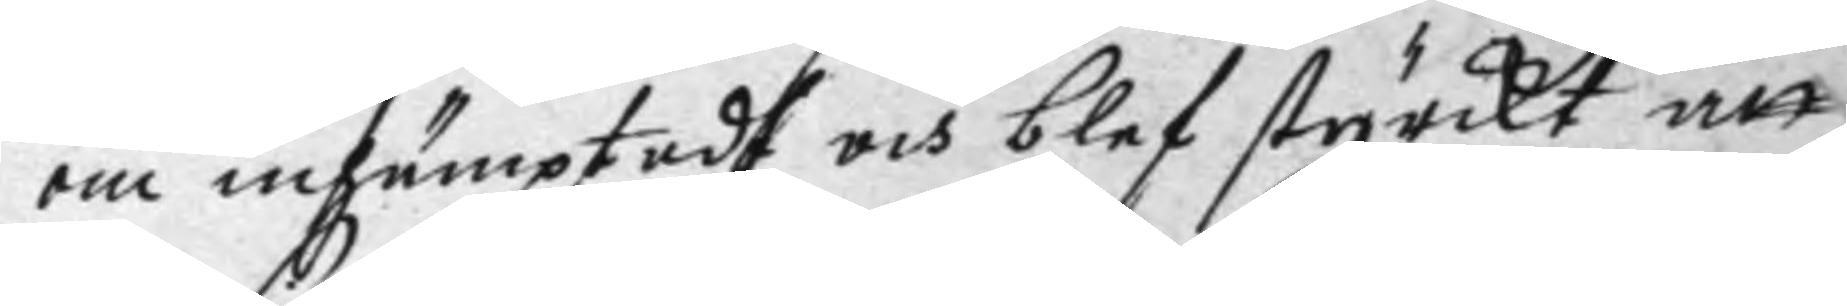om inhämptadt och blef styrckt att
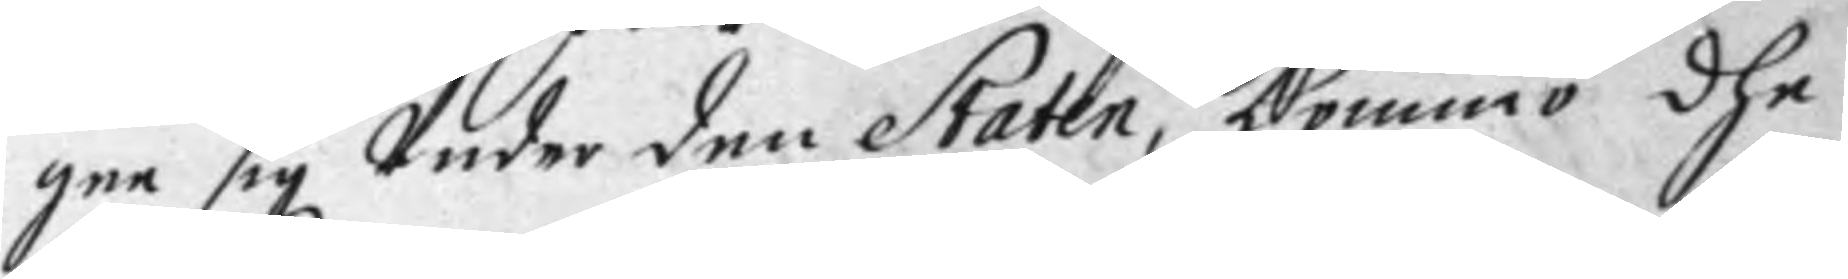gee sig Under den Staten, kommo dhe
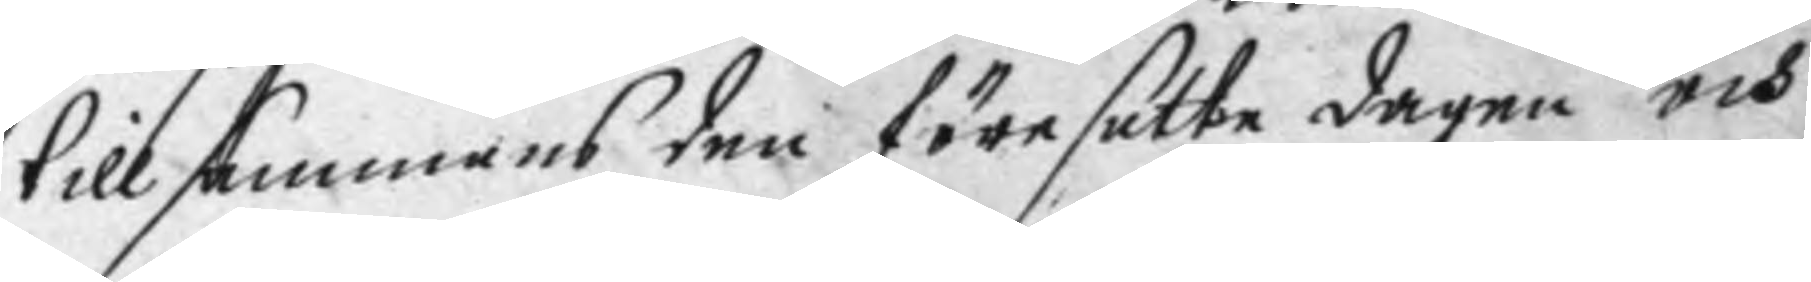tillsammans den förestalte dagen och
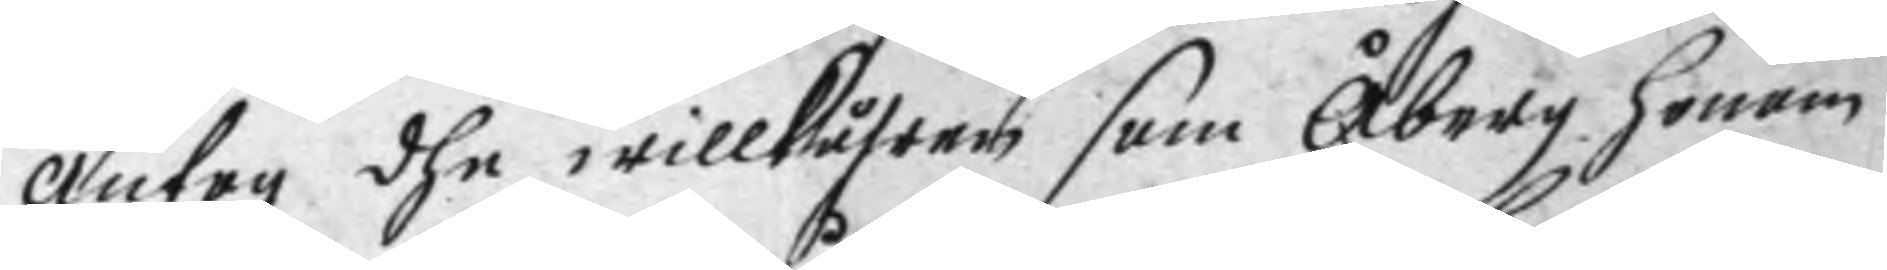antog dhe willkåhren som Åberg honom
